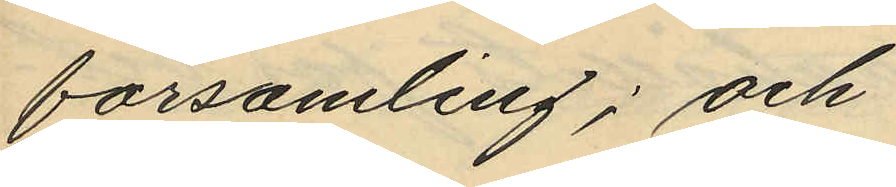församling; och
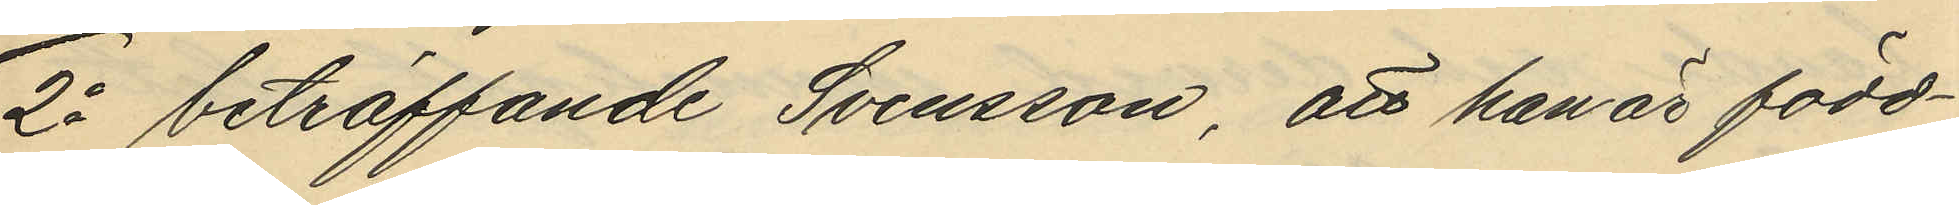2o beträffande Svensson, att han är född¬
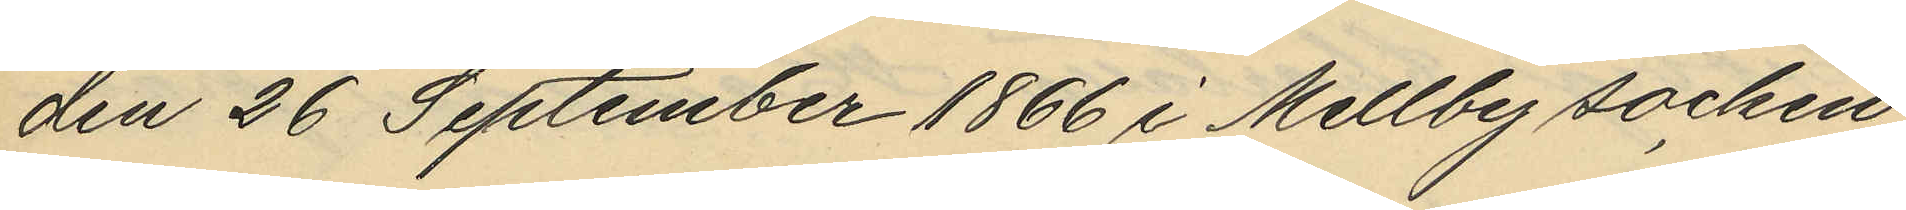den 26 September 1866 i Mellby socken
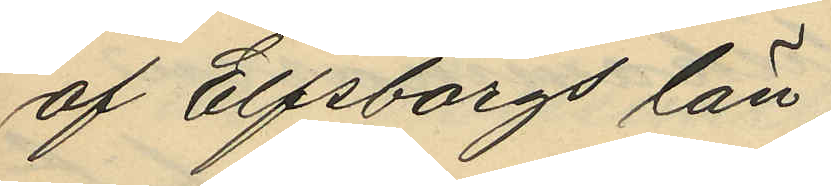af Elfsborgs län
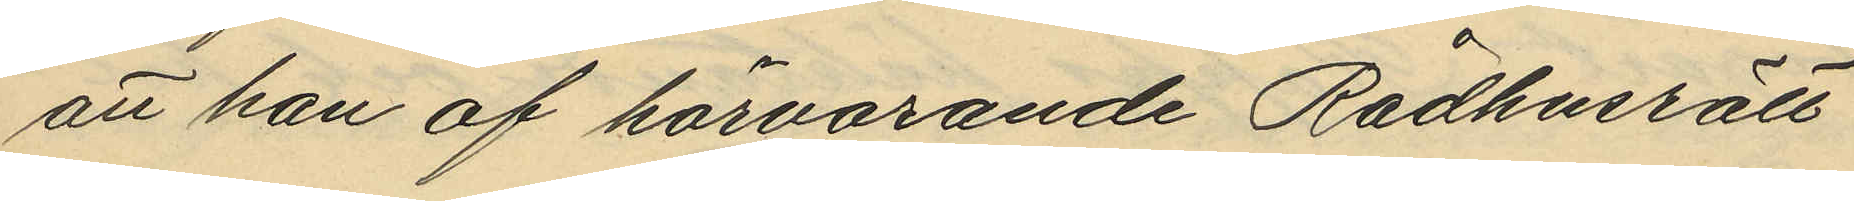att han af härvarande Rådhusrätt
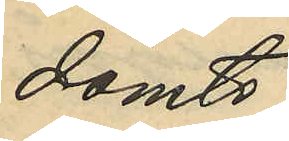dömts
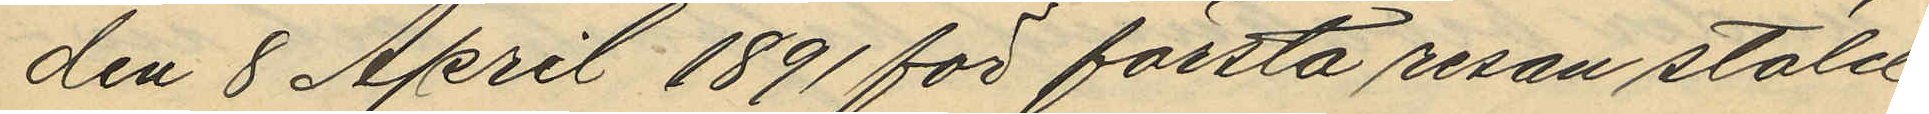den 8 April 1891 för första resan stöld
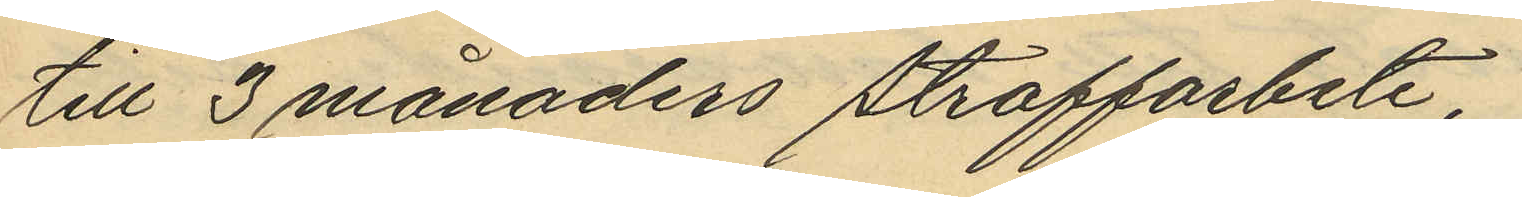till 3 månaders straffarbete,
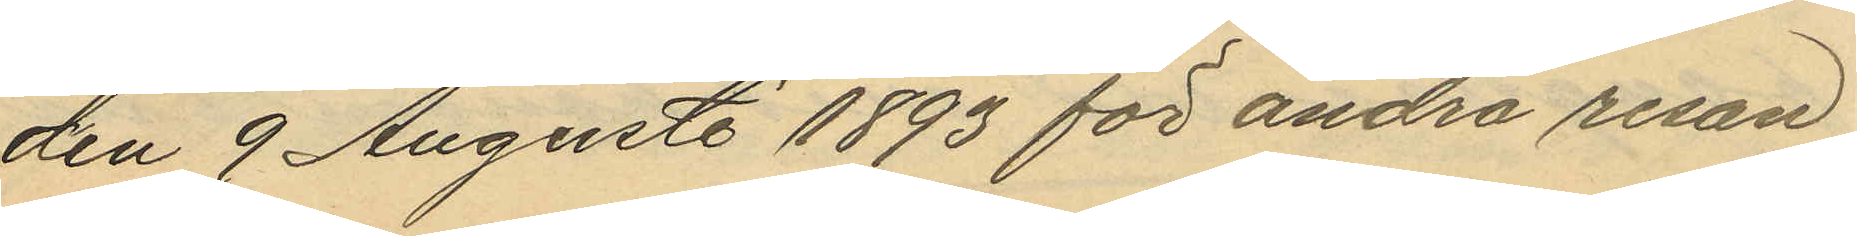den 9 Augusti 1893 för andra resan
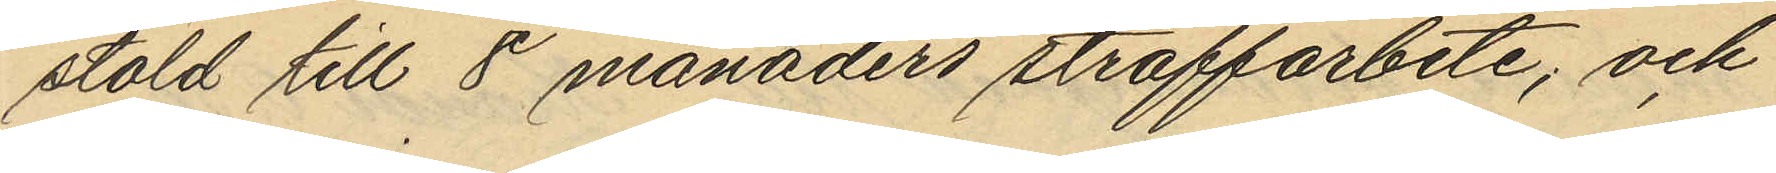stöld till 8 månaders straffarbete; och
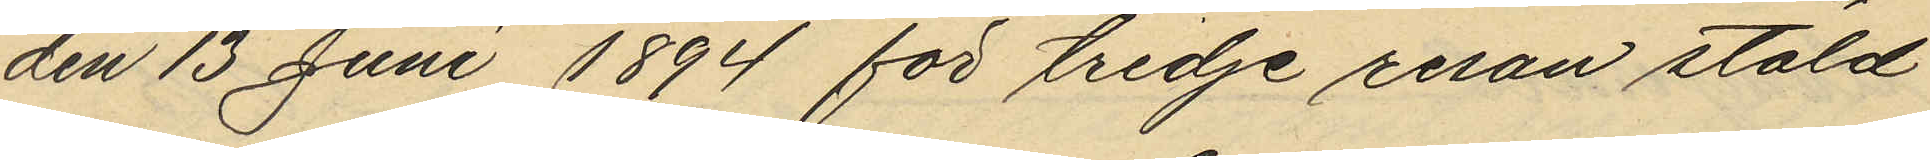den 13 Juni 1894 för tredje resan stöld
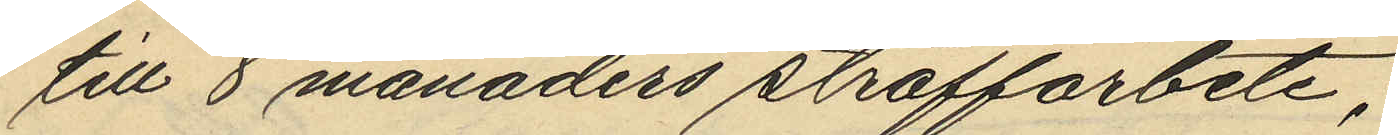till 8 månaders straffarbete;
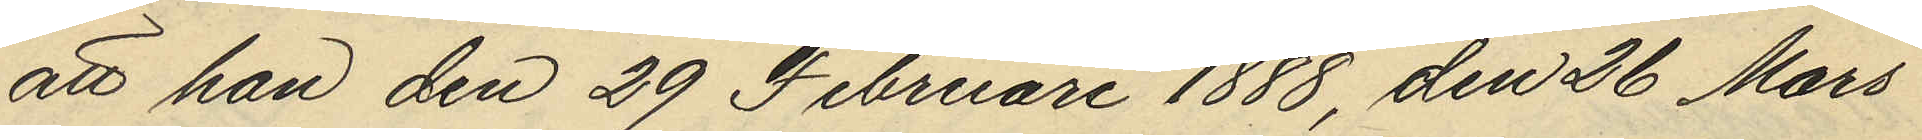att han den 29 Februari 1888 den 26 Mars
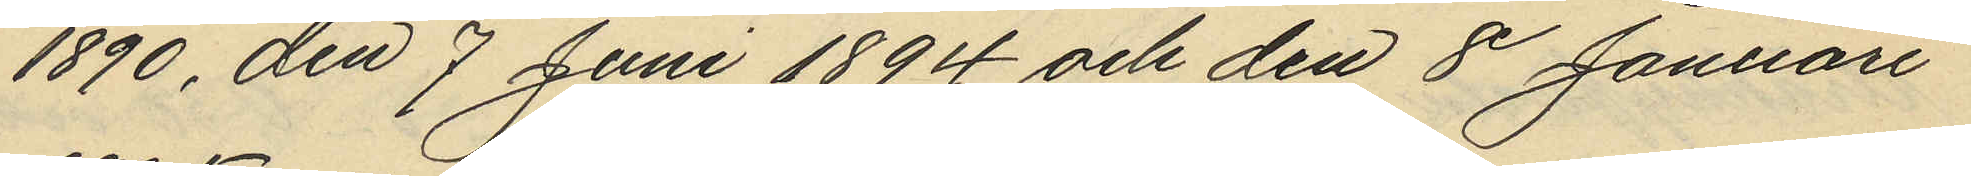1890, den 7 Juni 1894 och den 8 Januari
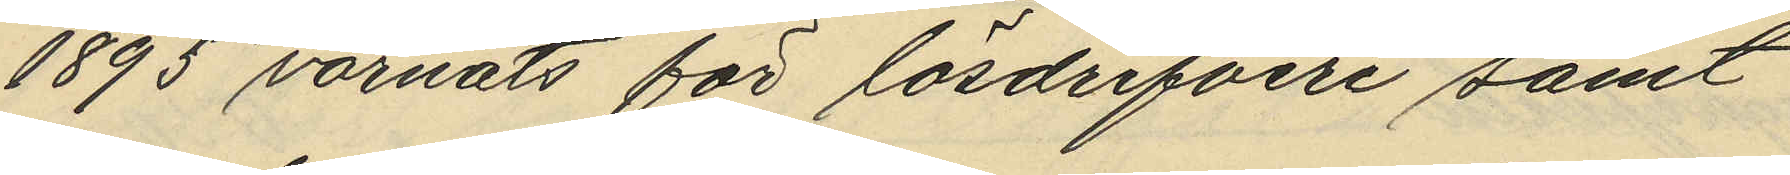1895 varnats för lösdrifveri samt
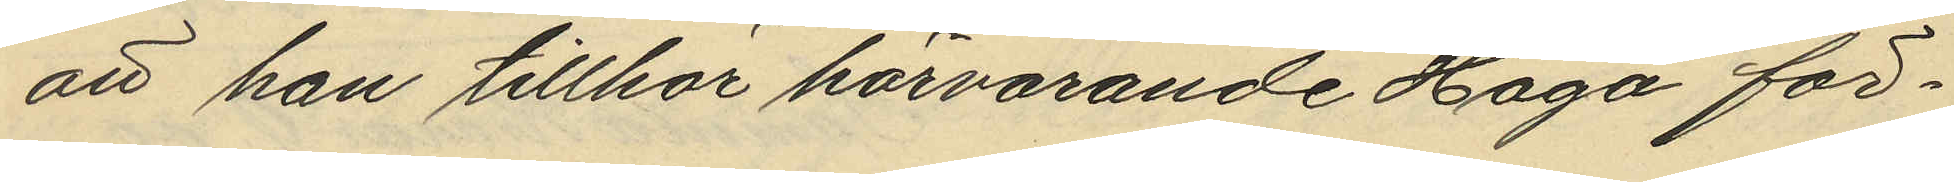att han tillhör härvarande Haga för¬
